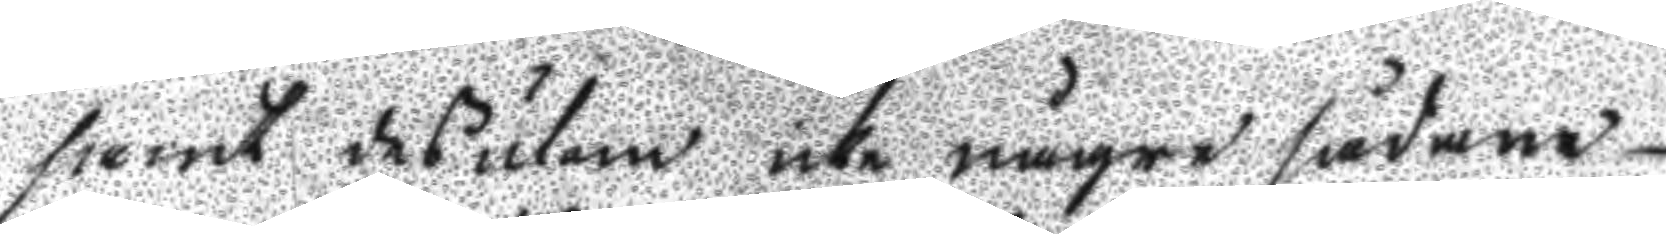samt desutom icke någre sådane
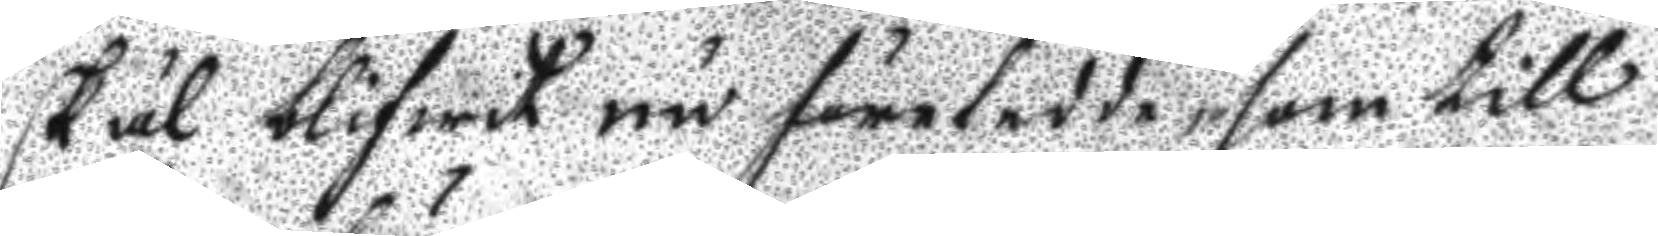skäl blifwit nu företedde som till
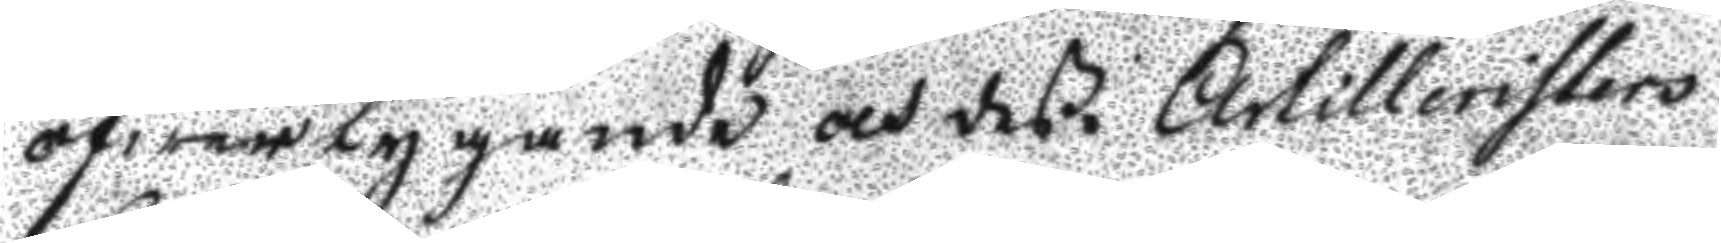öfwertygande och deße Artilleristers
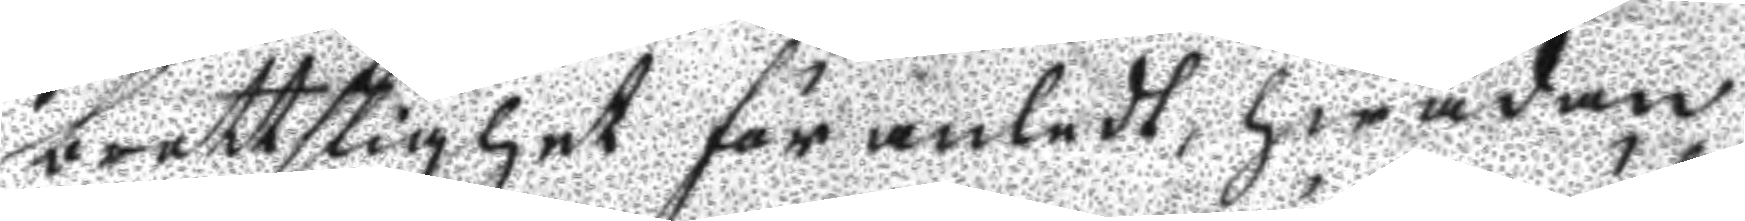brottslighet föranledt, hwadan
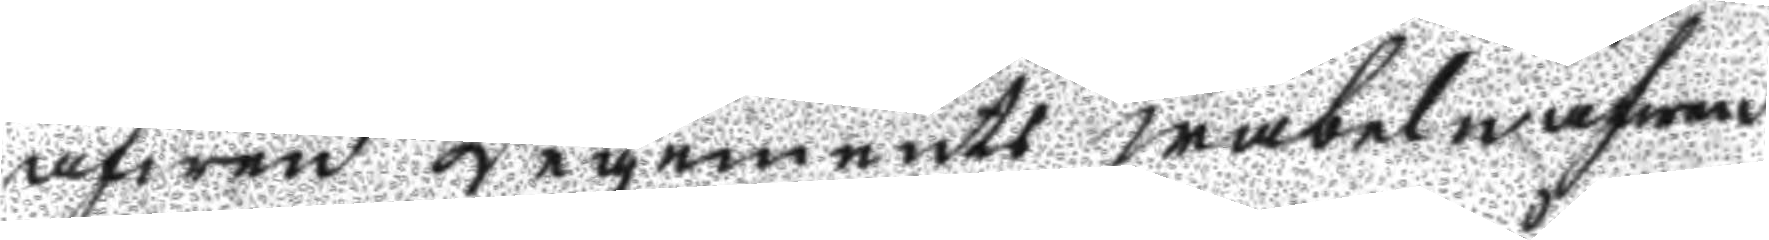äfwen Regements wäbeln äfwen
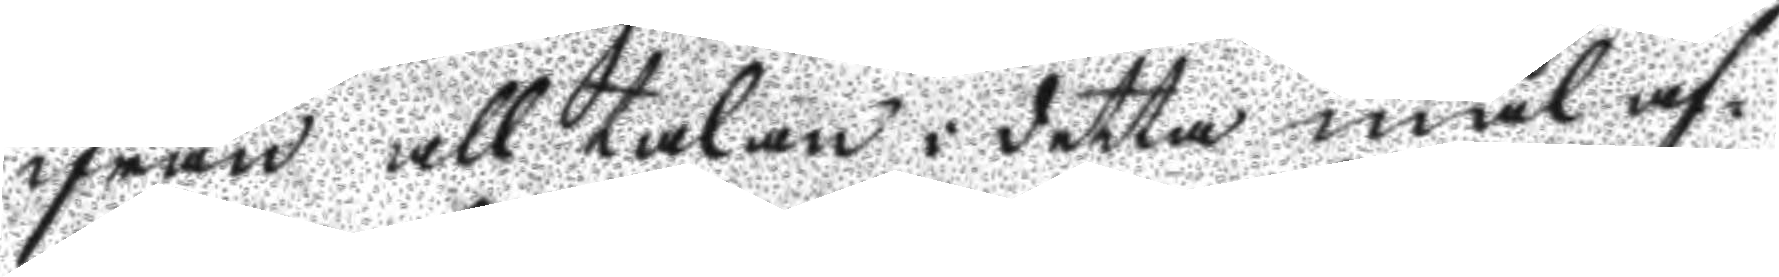ifrån all talan i detta mål af¬
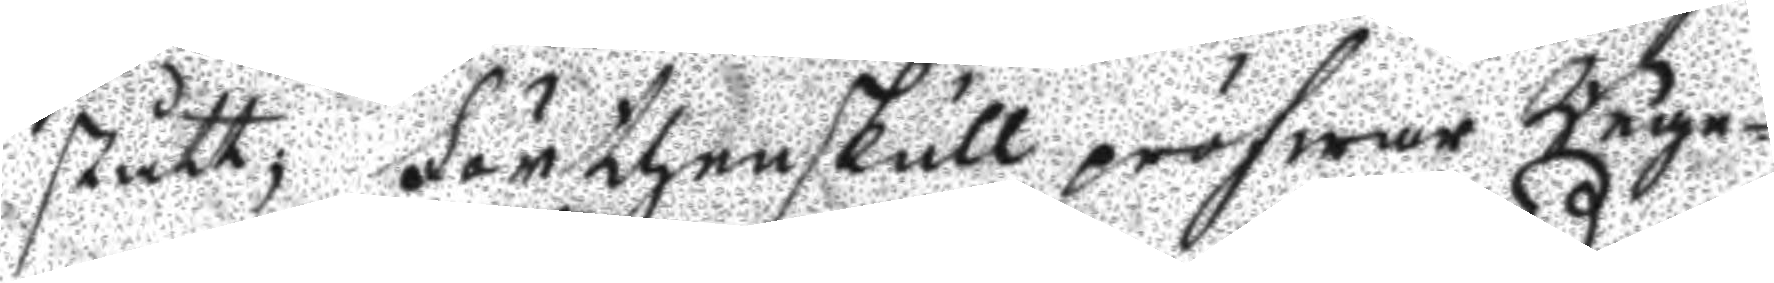stått; förthenskull präfwar Rege¬
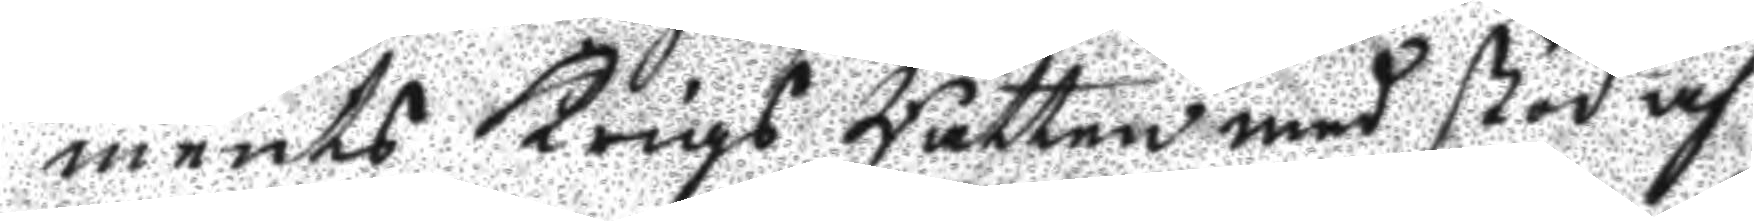ments Krigs Rätten med stöd af
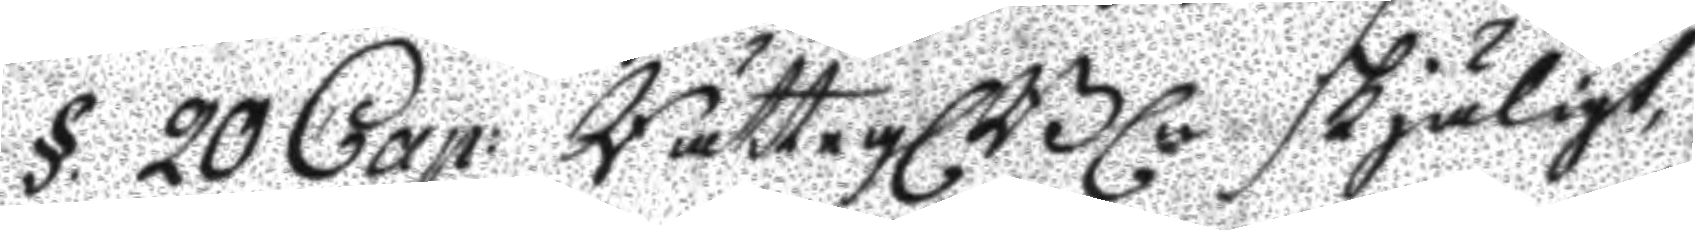§ 20 Cap: Rättegl. Bl. skjäligt
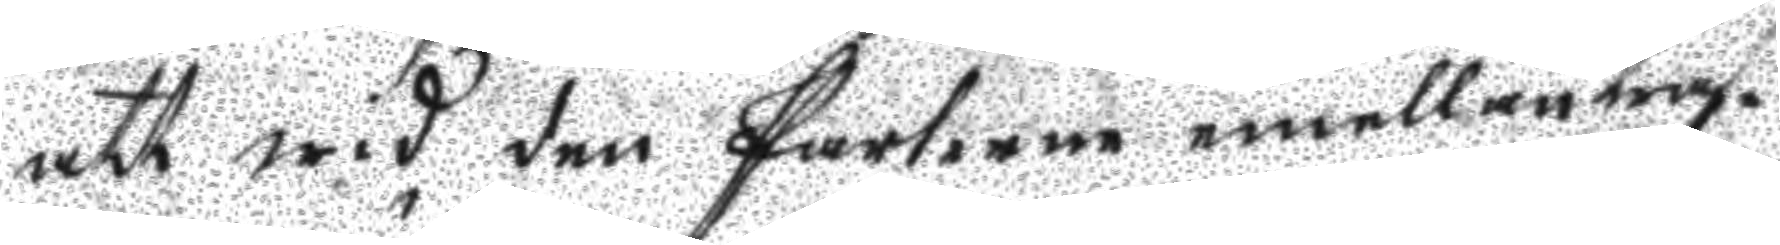att wid den Parterne emellan träf¬
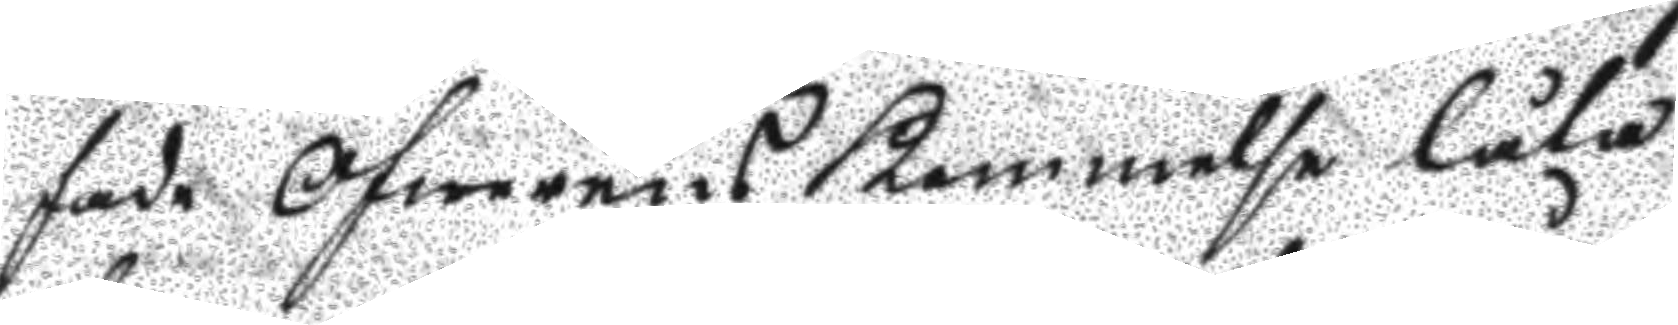fade Öfwerens kommelse låta
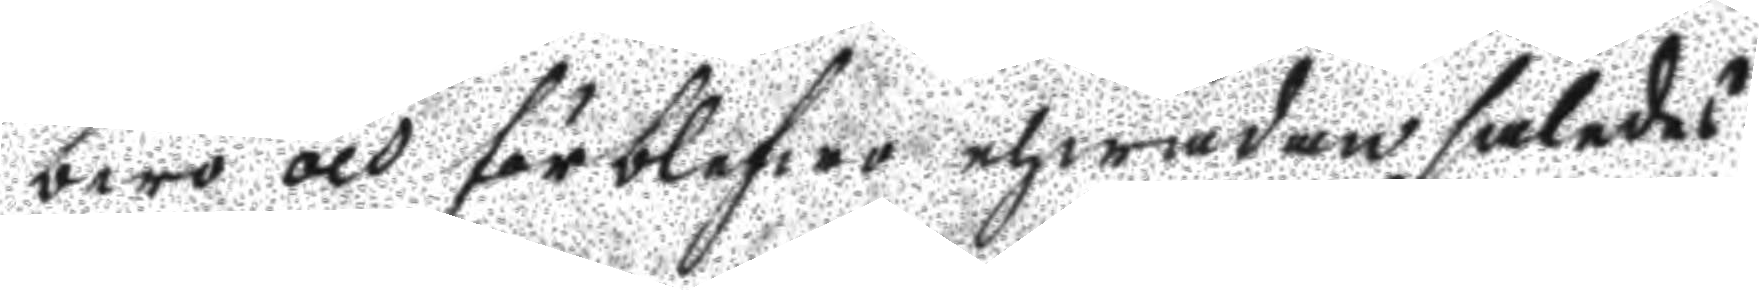bero och förblifwa ehwadan således
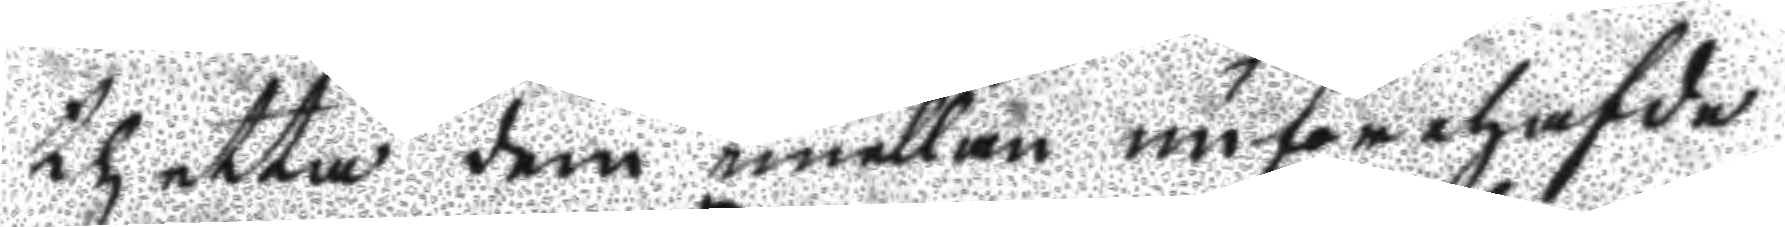thetta dem emellan nu förehafde
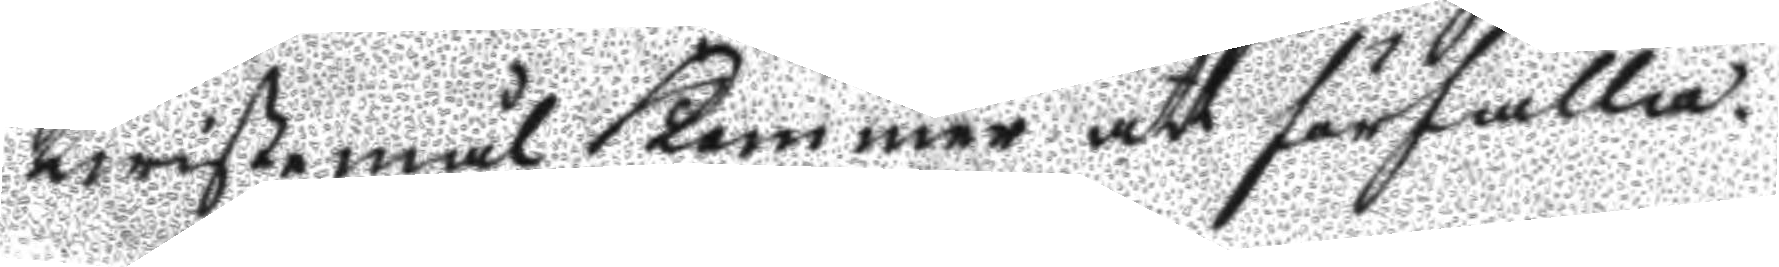twistemål Kommer att förfalla.
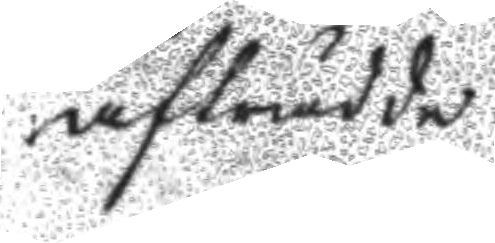afträdde.
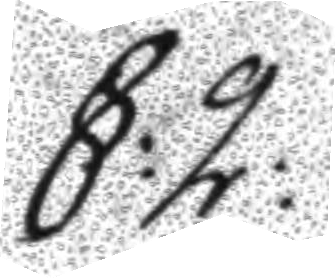§:2:
